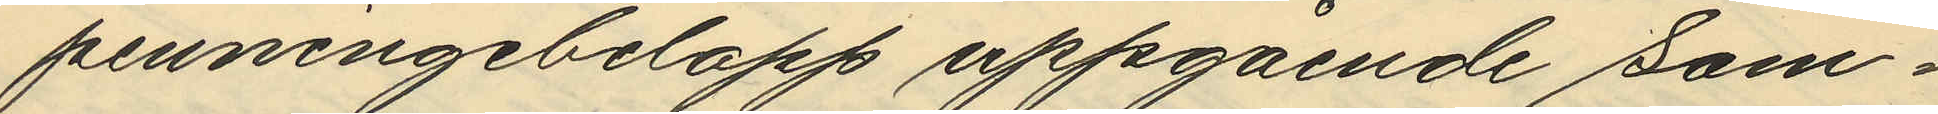penningebelopp uppgående sam¬
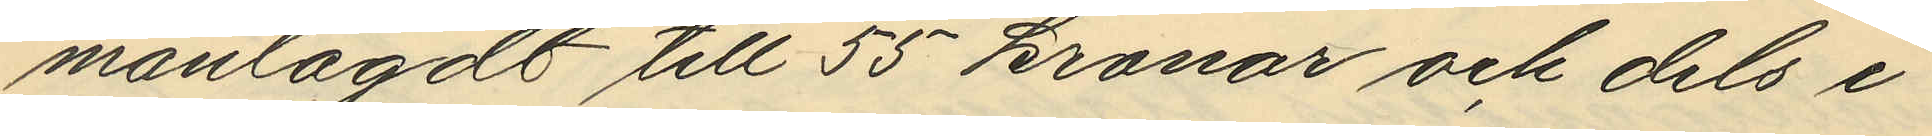manlagdt till 55 kronor och dels i
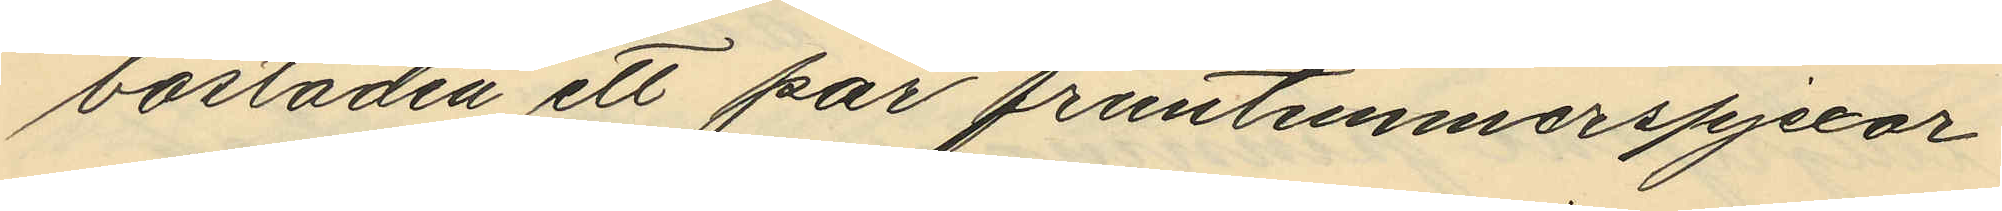bostaden ett par fruntimmerspjexor
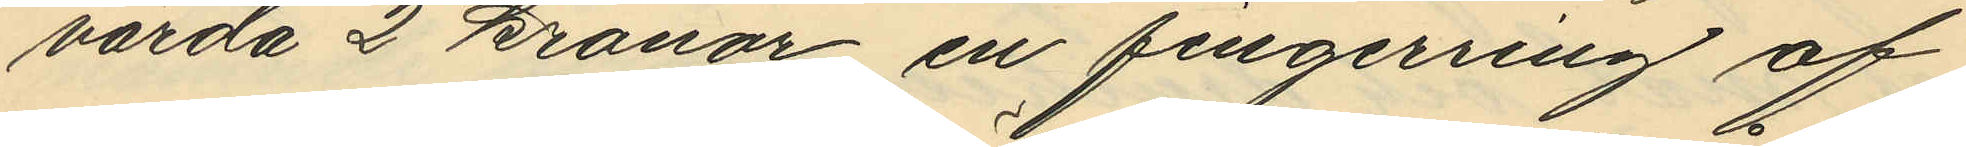värda 2 kronor en fingerring af
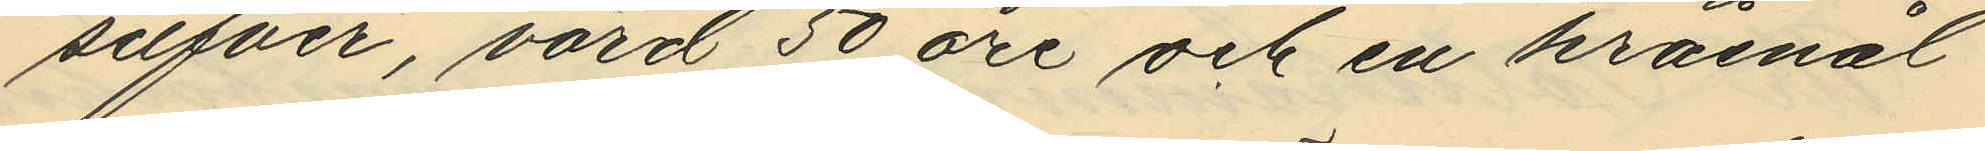silfver, värd 50 öre och en kråsnål
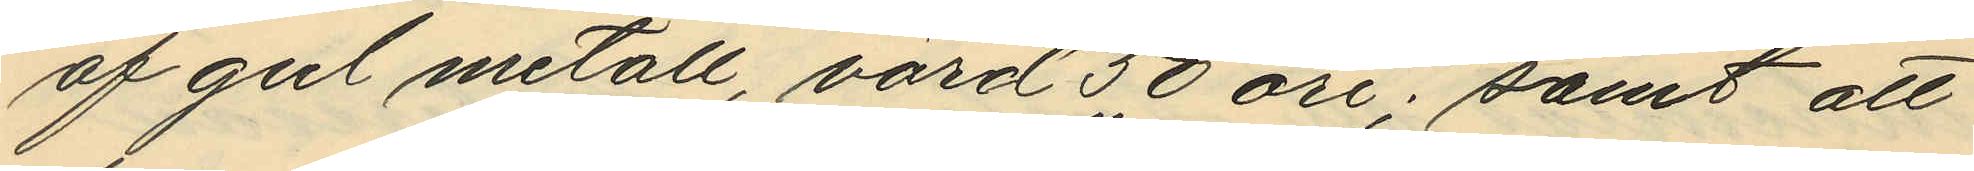af gul metall, värd 50 öre; samt att
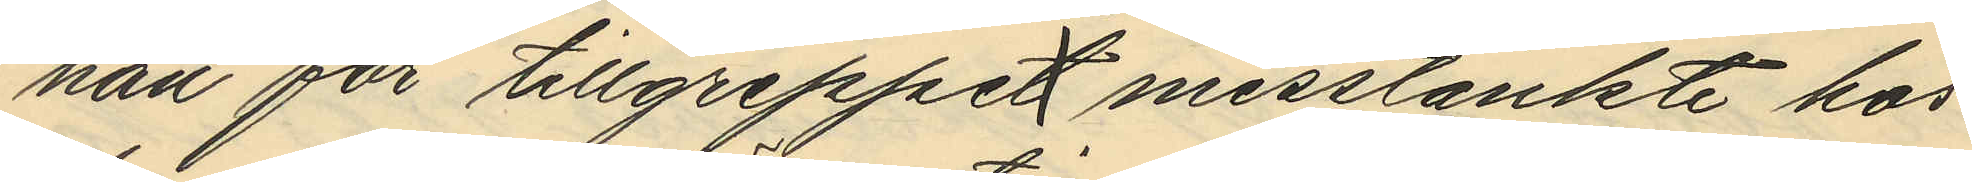han för tillgreppen misstänkte hos
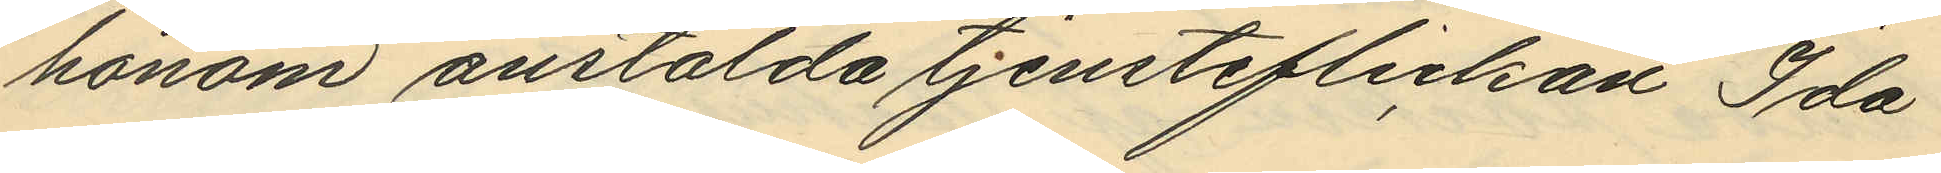honom anstälda tjensteflickan Ida
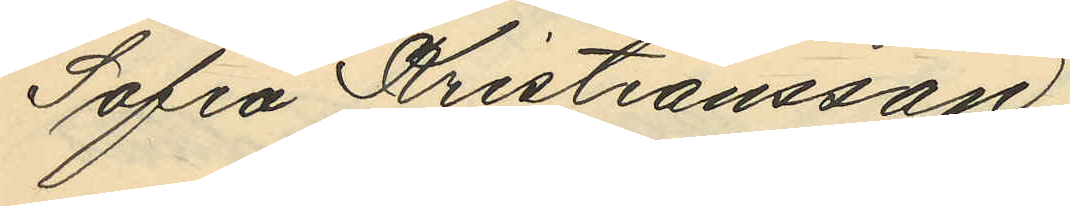Sofia Kristiansson.
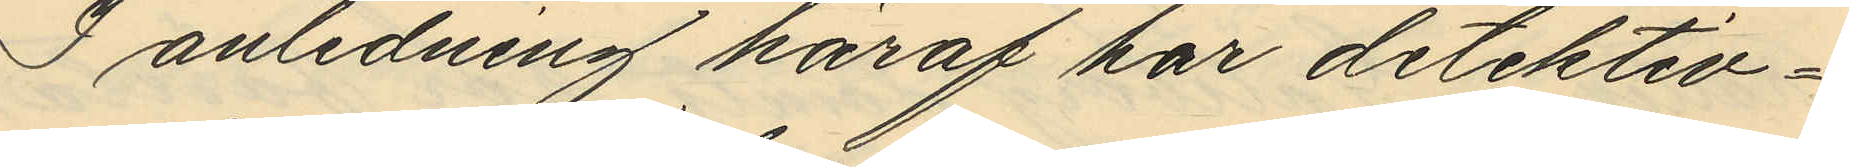I anledning häraf har detektiv¬
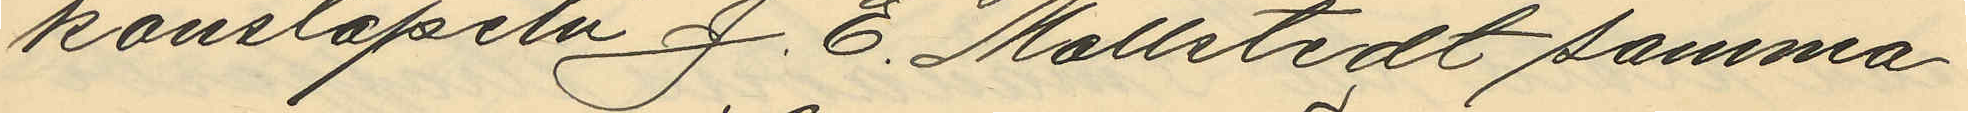konstapeln J. E. Mollstedt samma
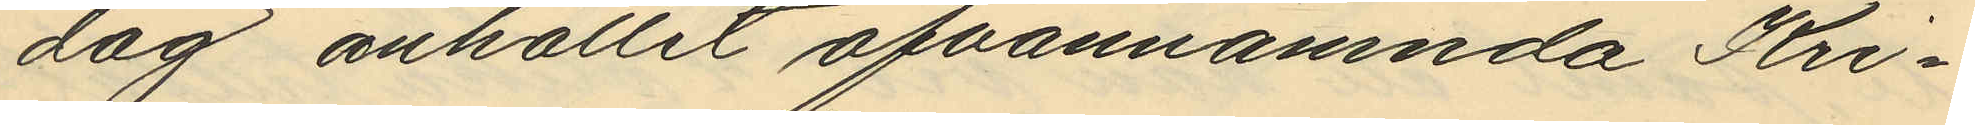dag anhållit ofvannämnda Kri¬
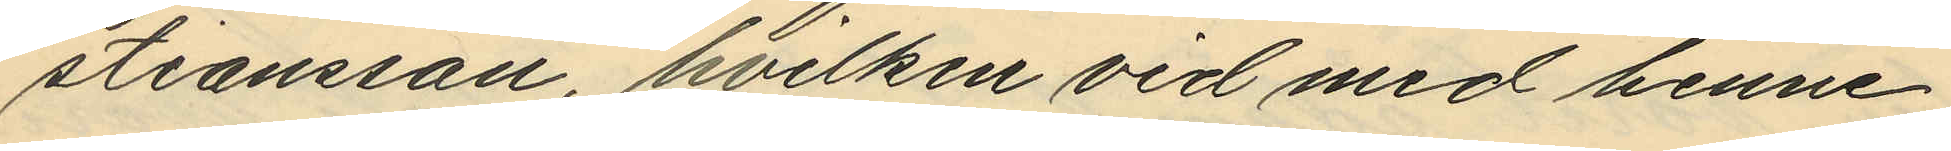stiansson, hvilken vid med henne
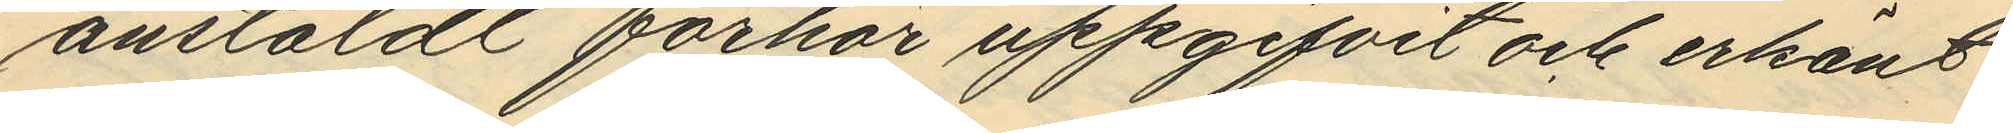anstäldt förhör uppgifvit och erkänt
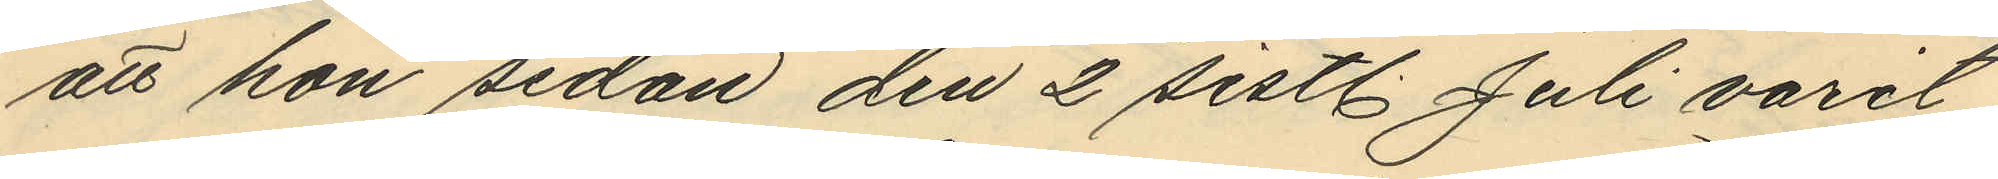att hon sedan den 2 sistl. Juli varit
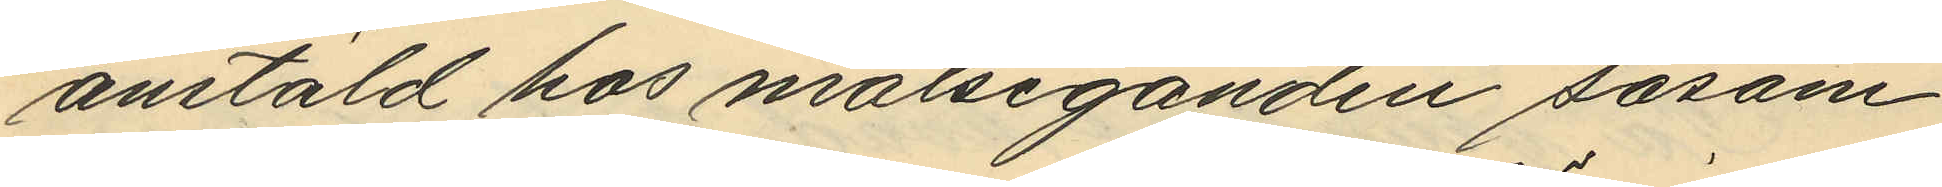anstäld hos målseganden såsom
